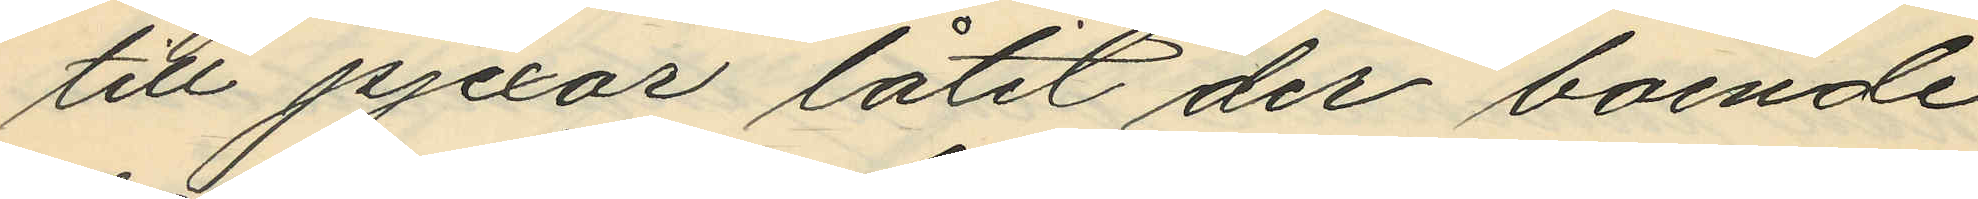till pjexor låtit der boende
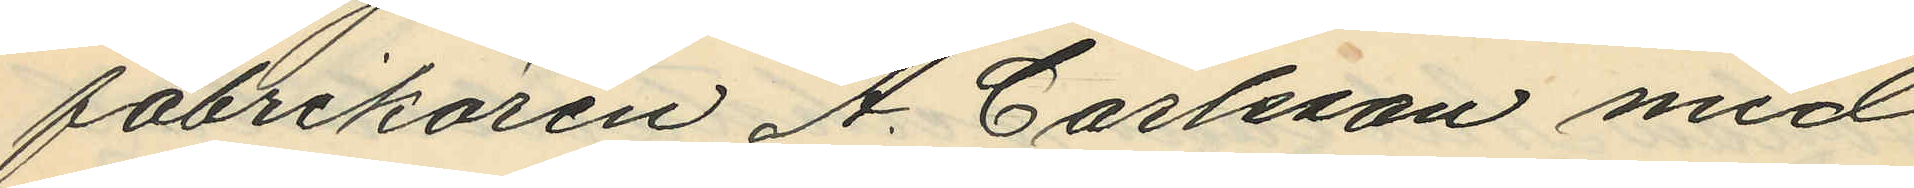fabrikören A. Carlsson med
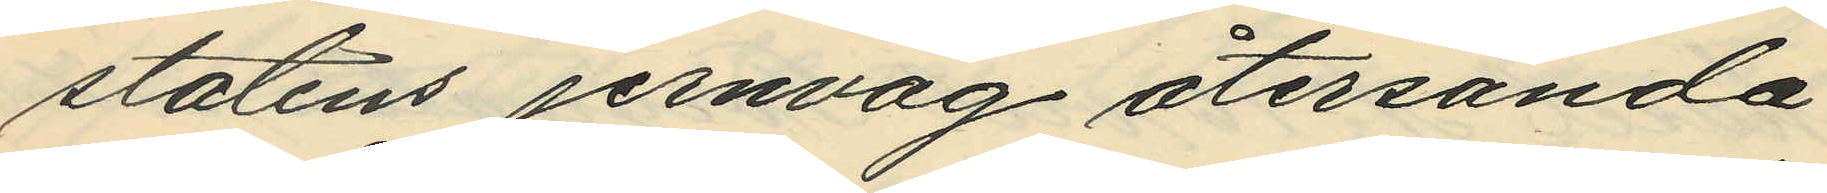statens jernväg återsända
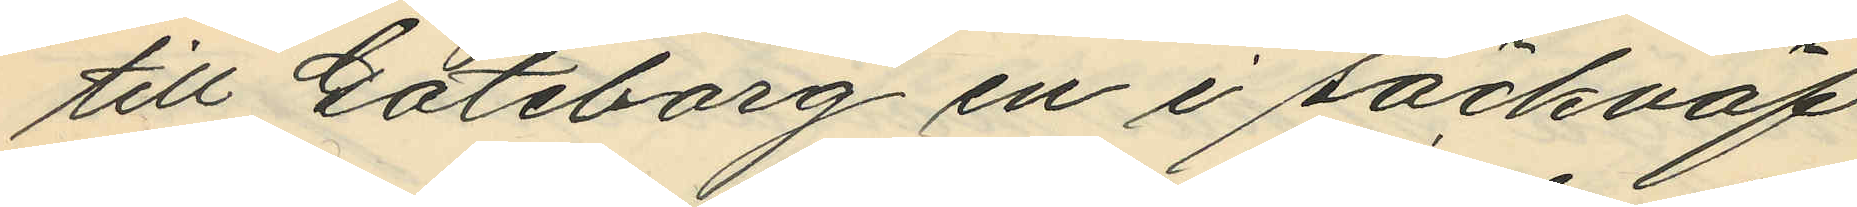till Göteborg en i säckväf
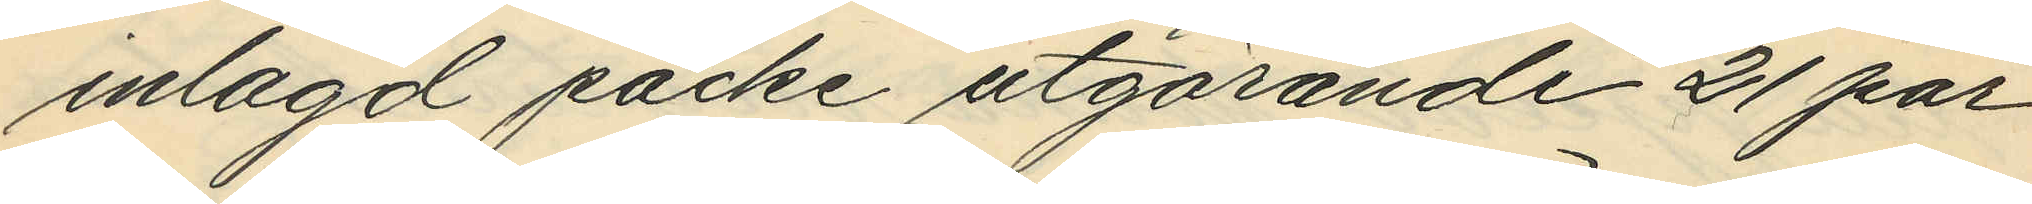inlagd packe utgörande 21 par
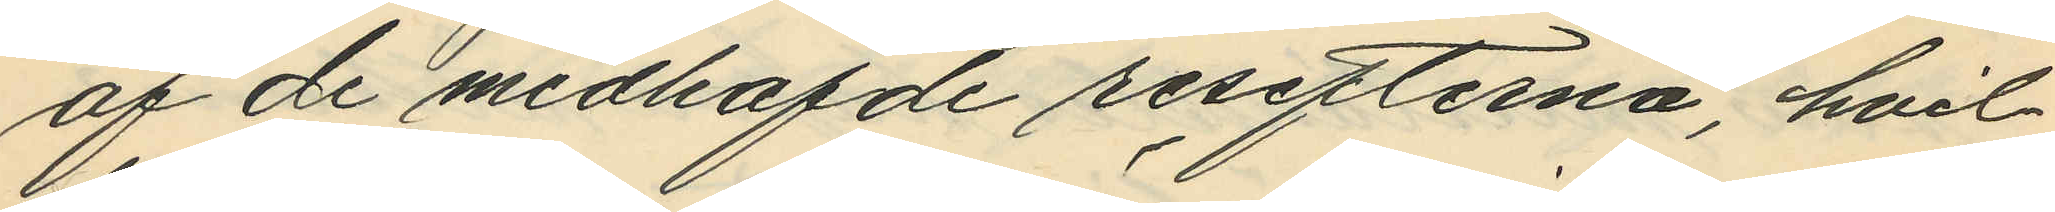af de medhafde resefterna, hvil¬
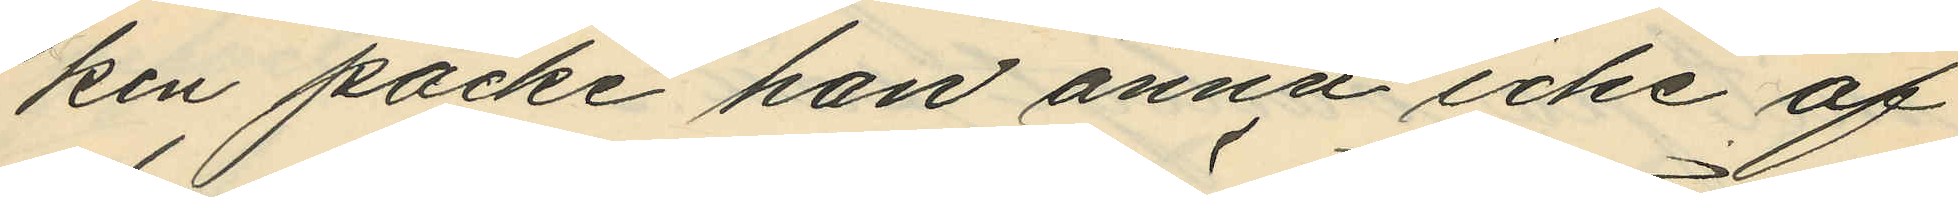ken packe han ännu icke af
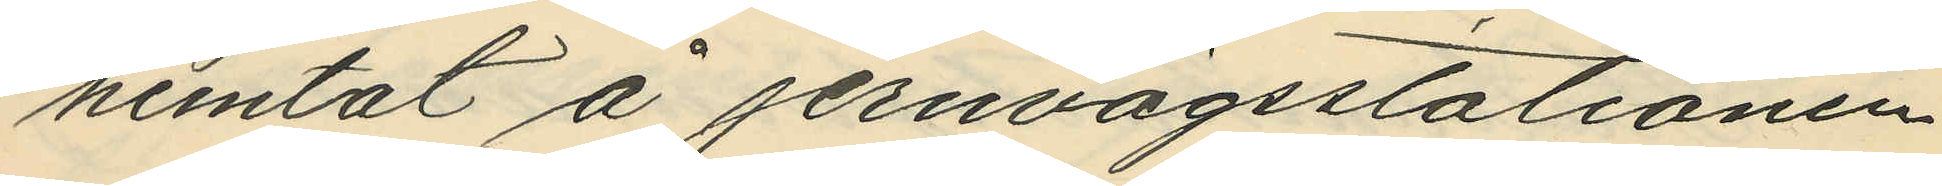hemtat å jernvägsstationen,
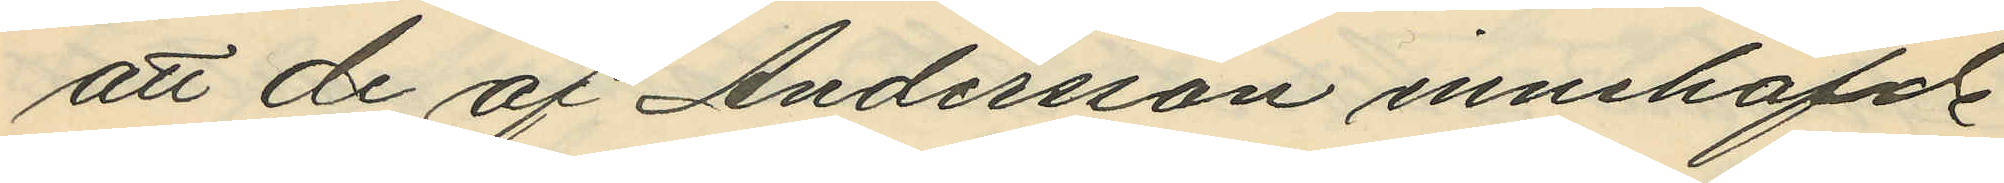att de af Andersson innehafde
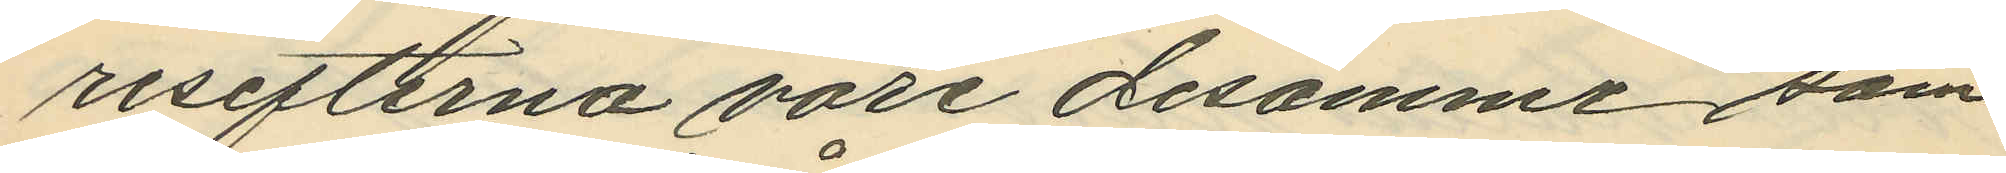resefterna vore desamme som
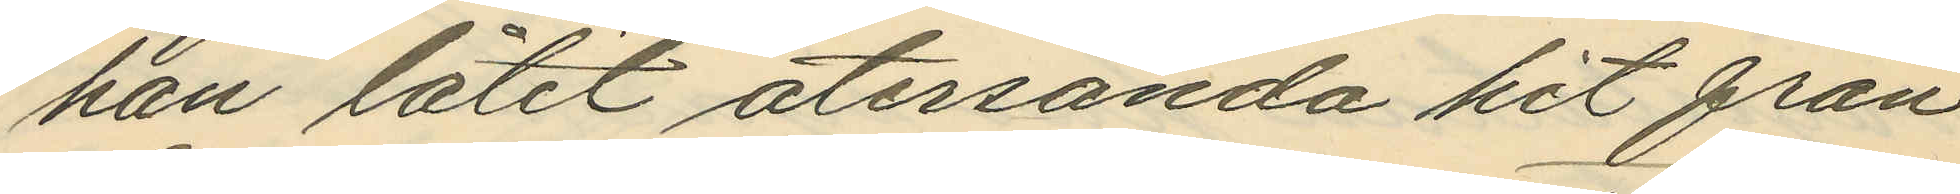han låtit återsända hit från
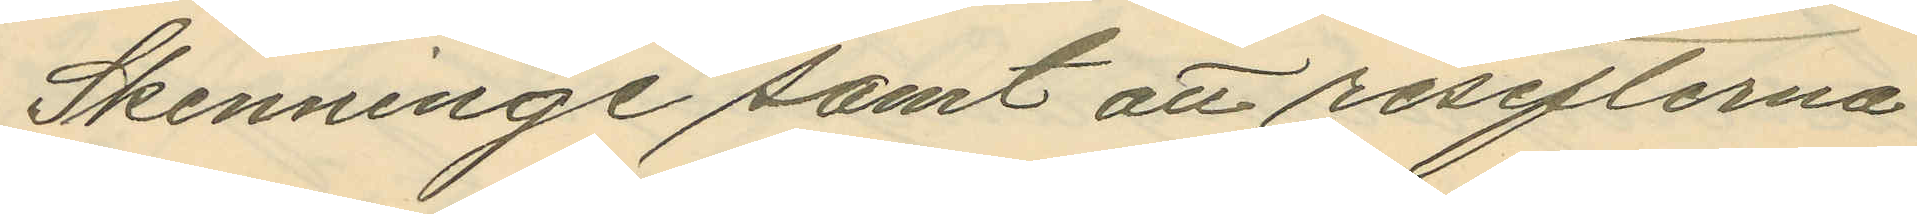Skenninge samt att resefterna
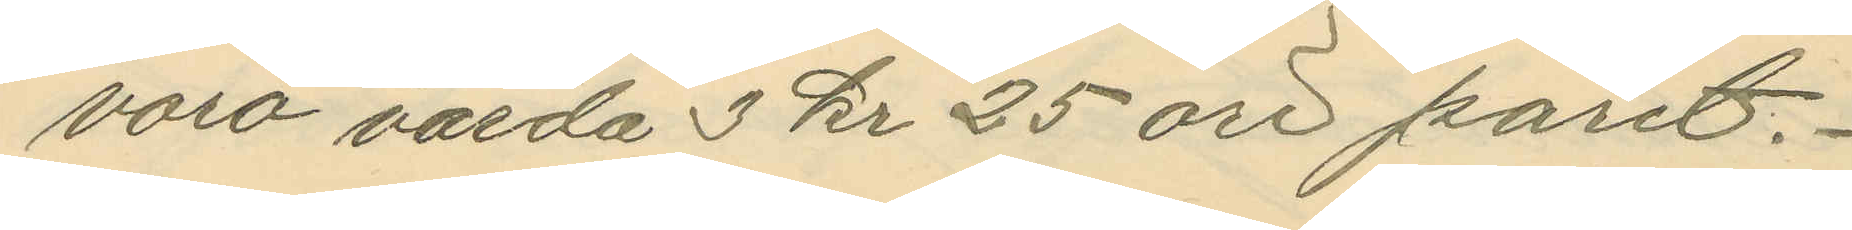voro värda 3 kr 25 öre paret.
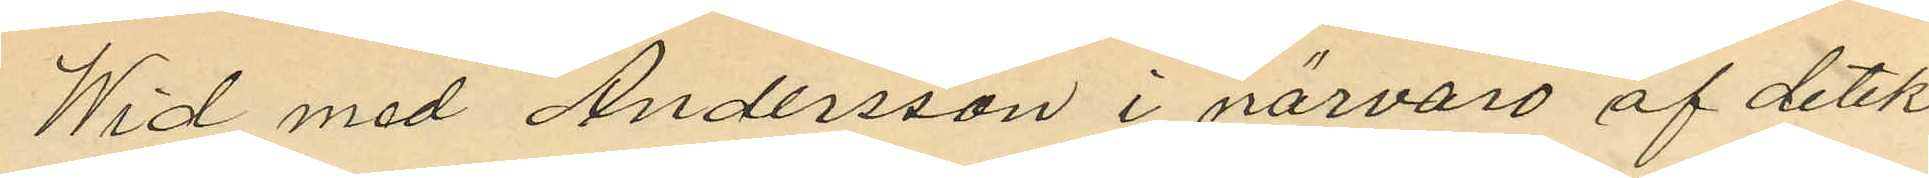Wid med Andersson i närvaro af detek¬
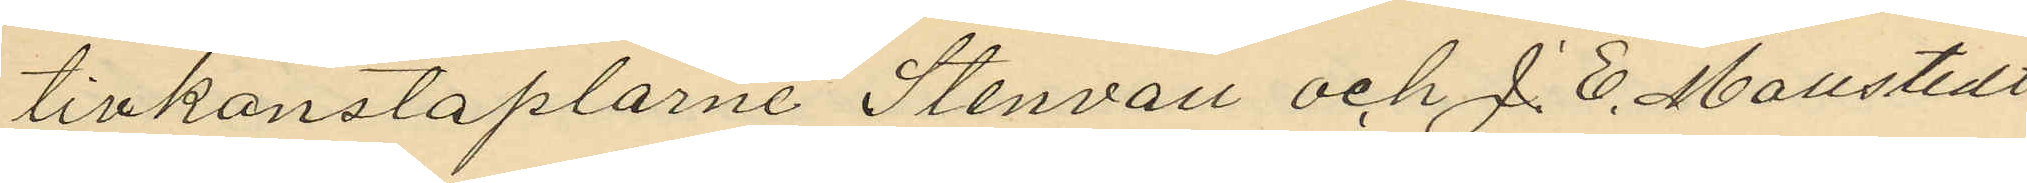tivkonstaplarne Stenvall och J. E. Mollstedt
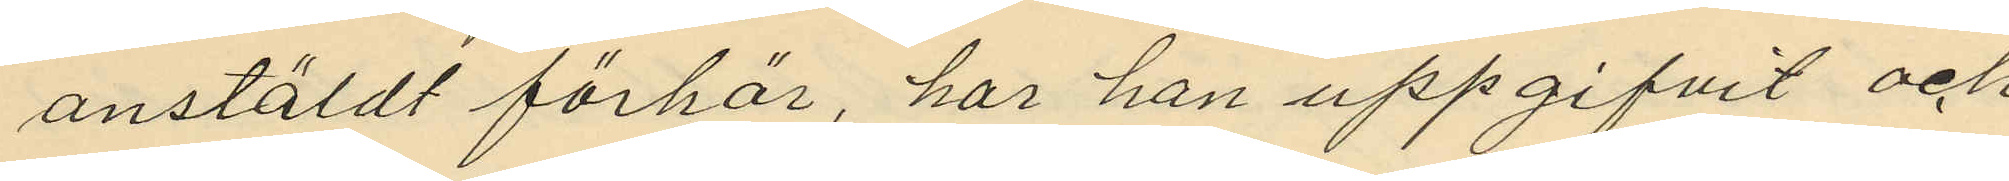anstäldt förhör, har han uppgifvit och
